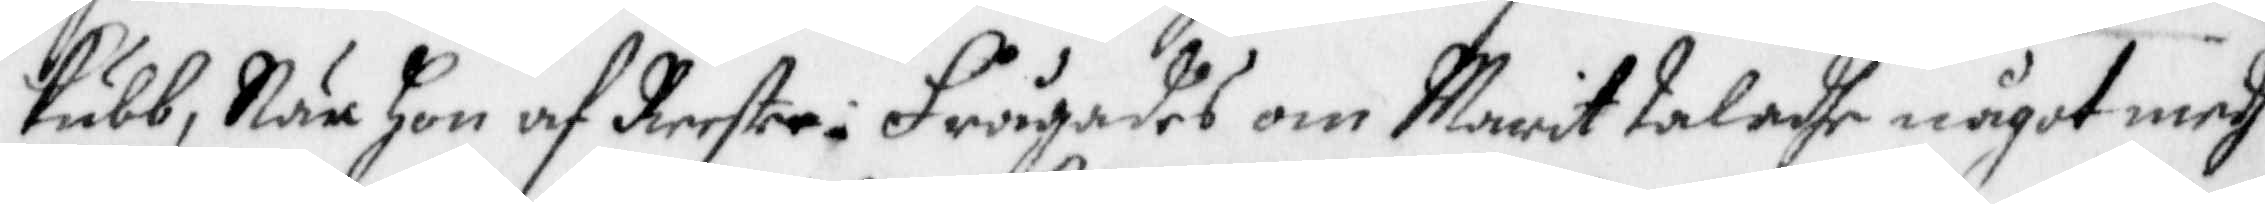kubb, När hon af Reeste. Frågades om Marit taladhe något medh
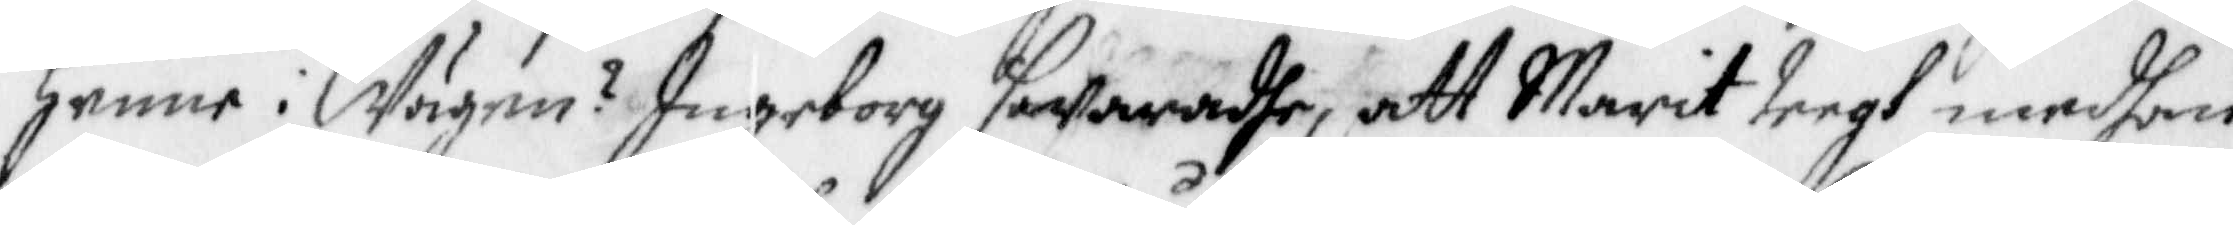henne i Wägen? Ingeborg swaradhe, att Marit teegh medhan
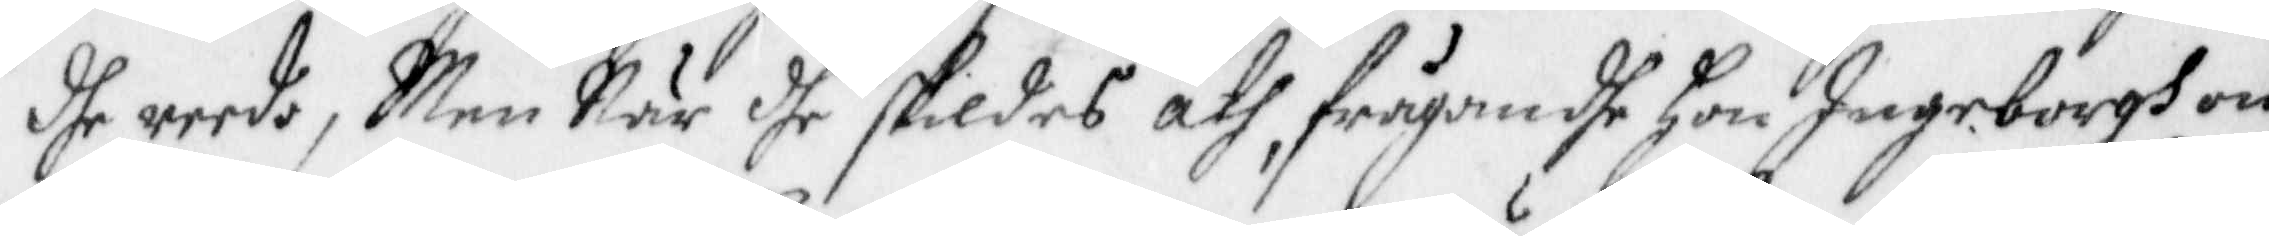dhe reedo, Men När dhe skildes åth, frågandhe hon Ingeborgh om
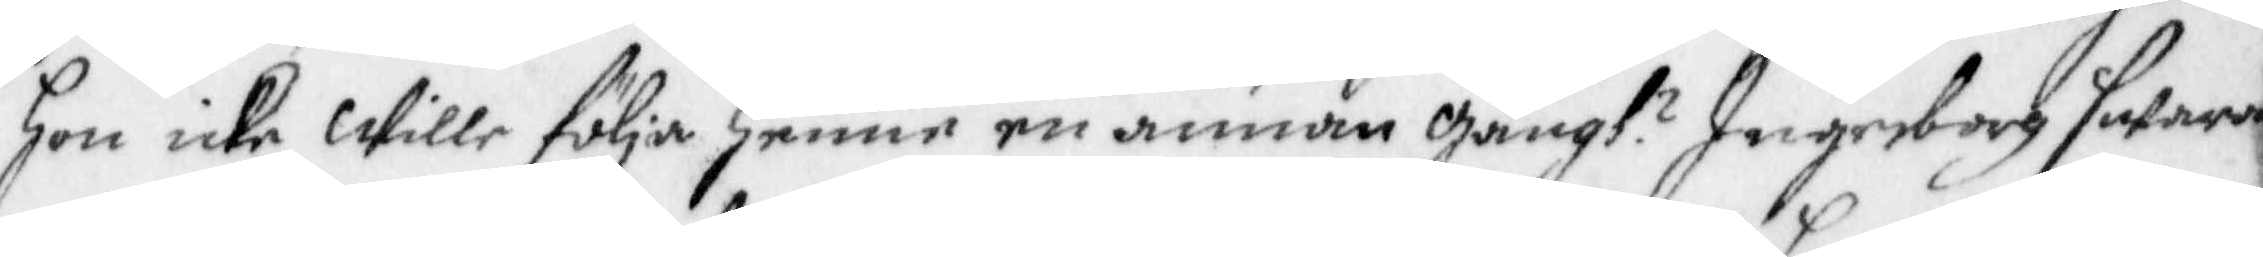Hon icke Wille följa henne en annan Gångh? Ingeborg swara¬
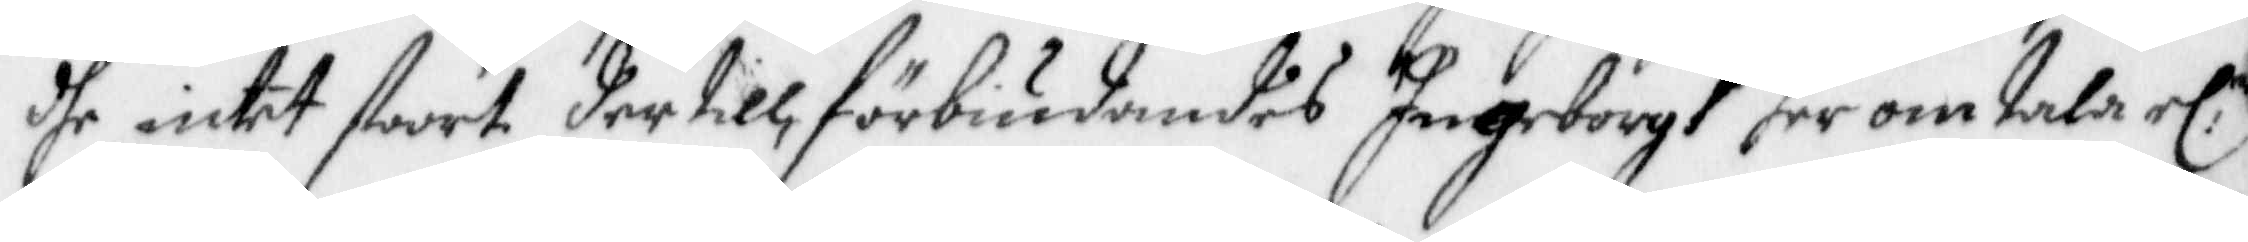dhe intet stoort der till, förbiudandes Ingeborgh her omtala el.r
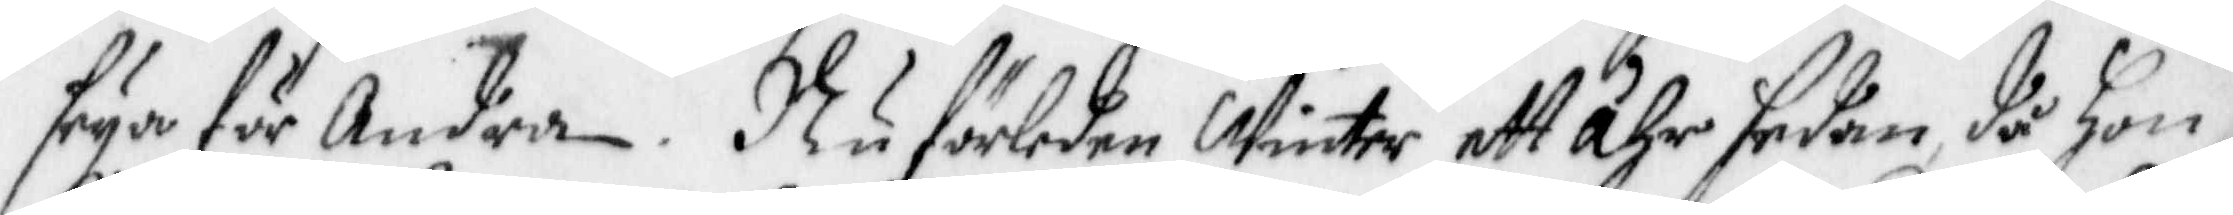seya för Andra. Nu förleden Winter ett åhr sedan då Hon
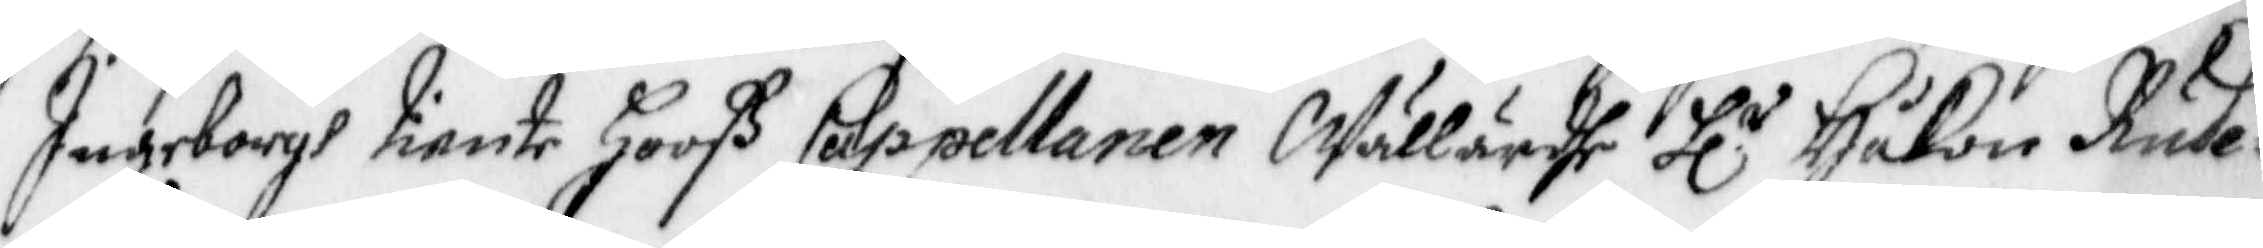Ingeborgh tiente Hooß Cappellanen Wällärdhe Hl:r Håkan Rude¬
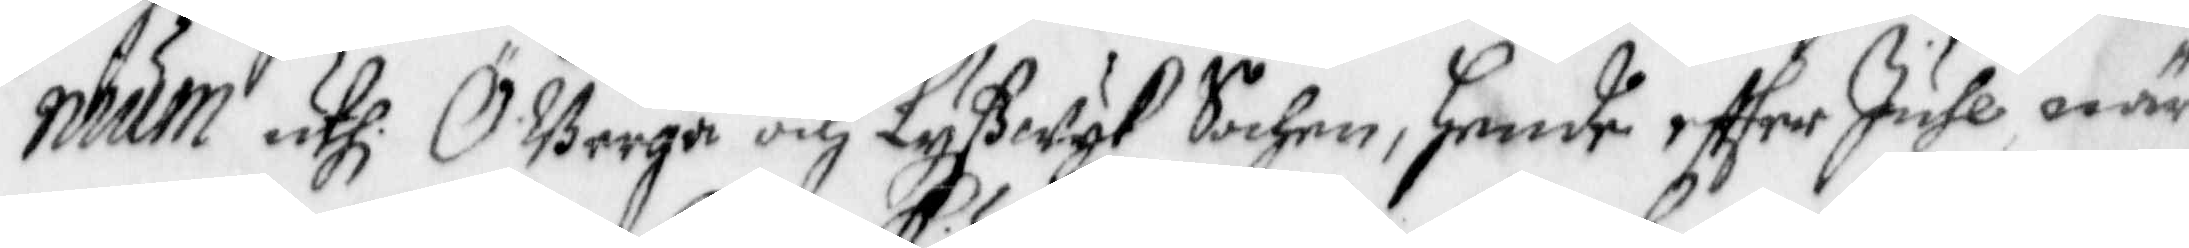nium uthi ÖBerga och Lyßwyk Sochn, hende effter Juhl när
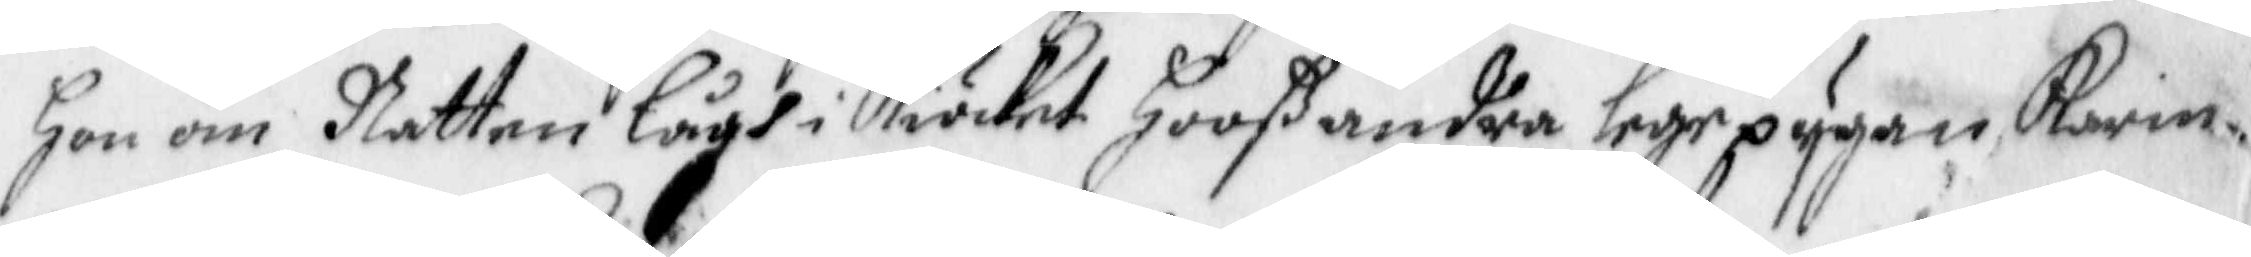hon om Natten Lågh i Kiöcket Hooß andra lege pygan Karin
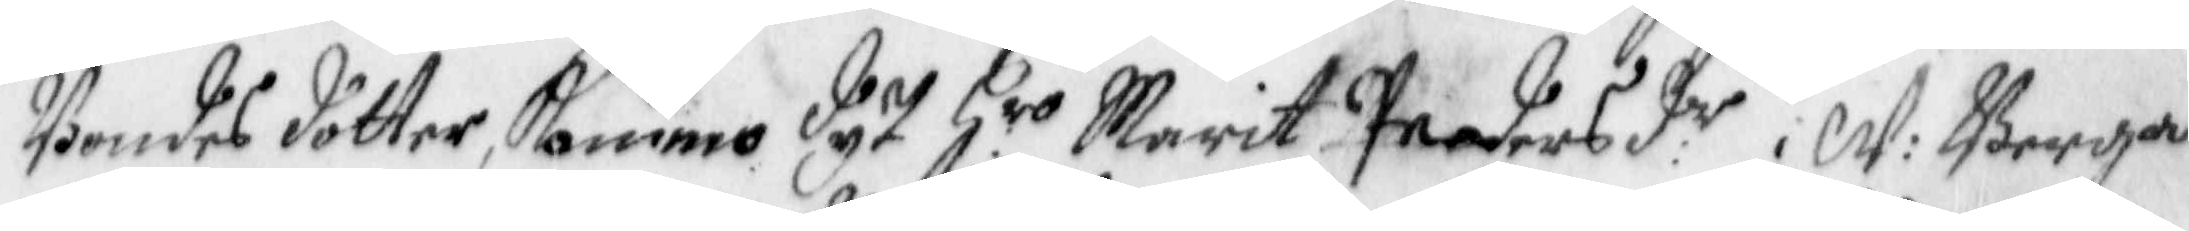Bondes dotter, kommo dyt Hro Marit Pedersd:r i W: Berga
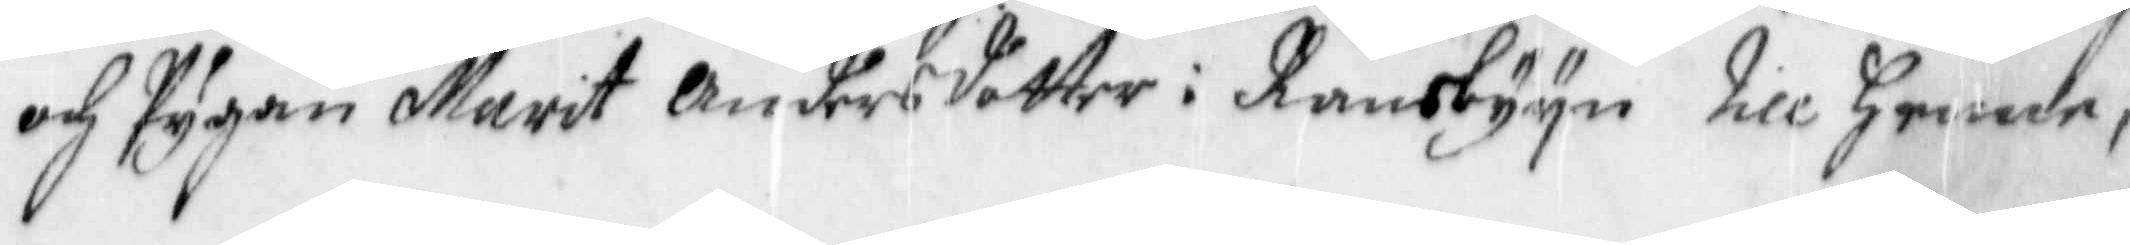och Pygan Marit Andersdotter i Ransbyyn till henne,
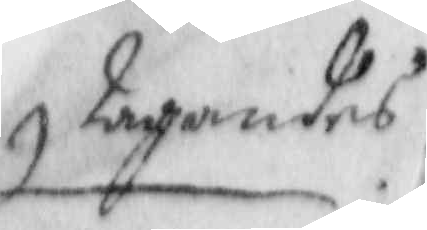tagandes
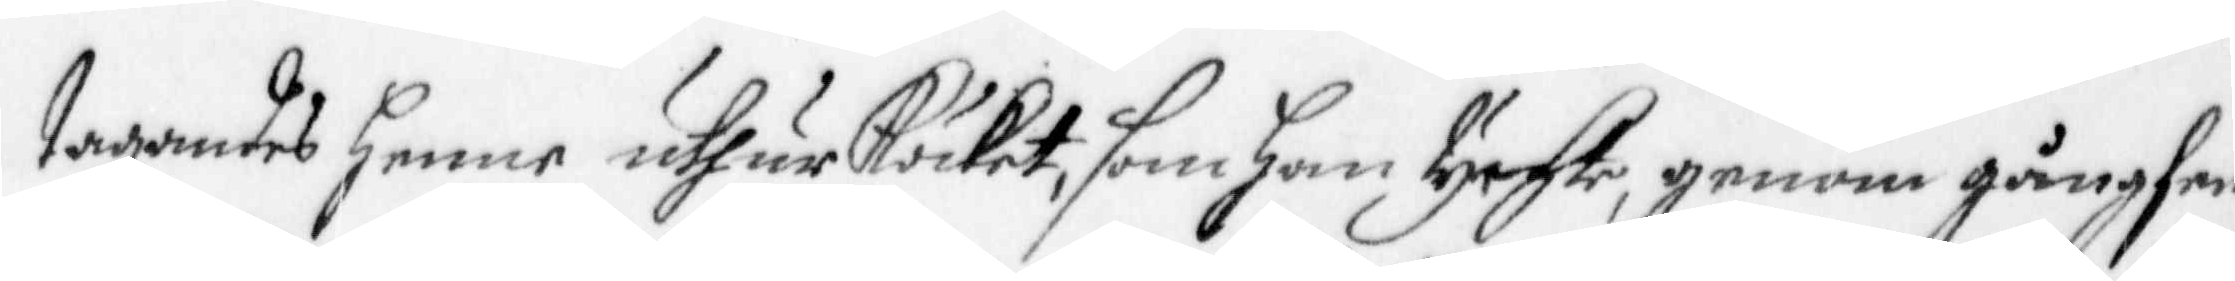tagandes henne uthur Köcket, som Han tychte, genom gångfen¬
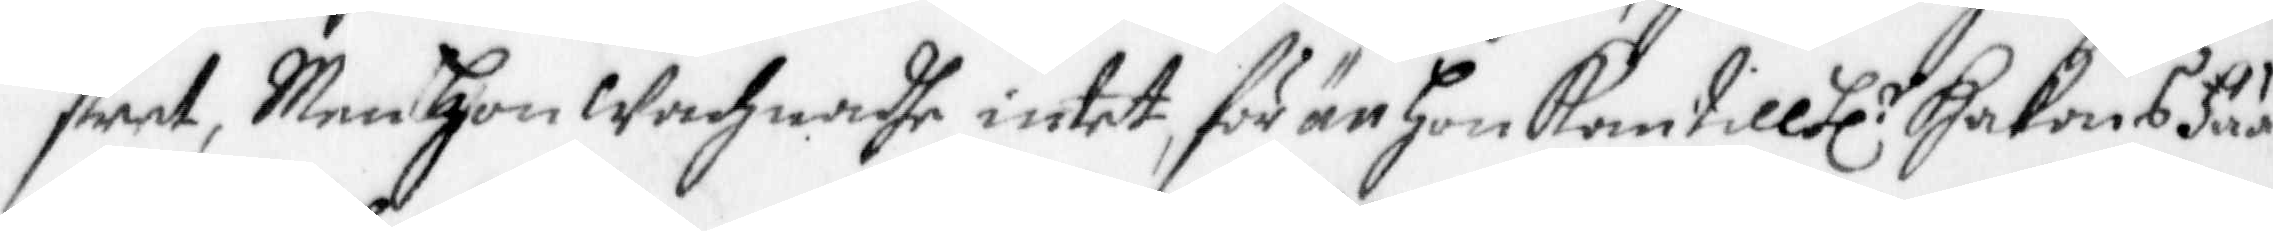stret, Men hon Wachnadhe intet, för är hon kom till Hl:r Hakons Fää¬
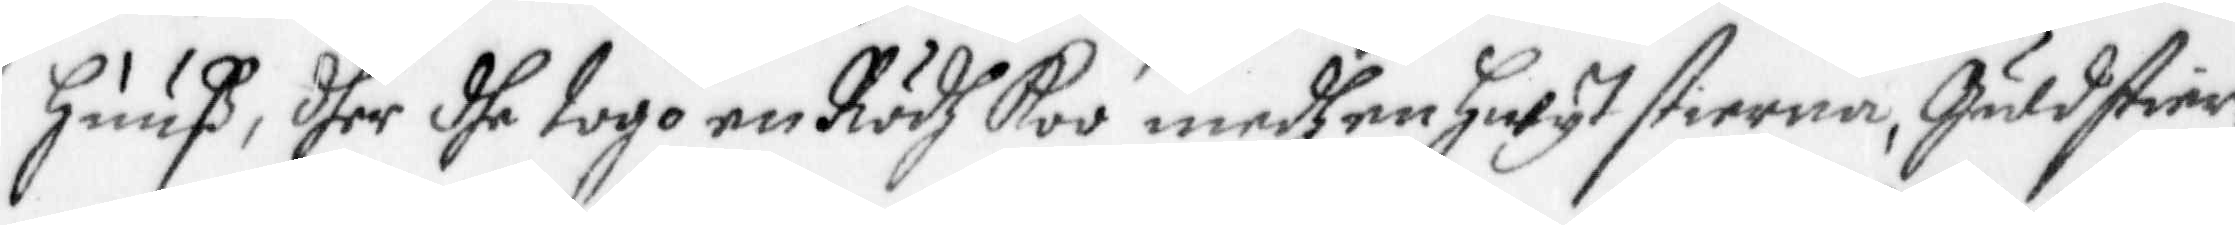huuß, dher dhe togo en Rödh Koo medh en hwyt stierna, Guldstier¬
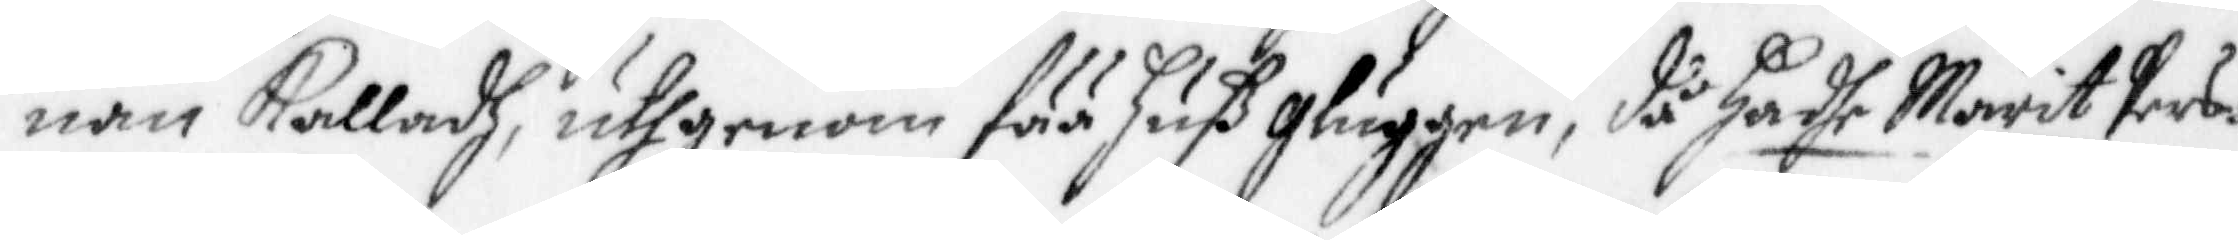nan Kalladh, uthgenom fää huß gluggen, då hadhe Marit Pers¬
